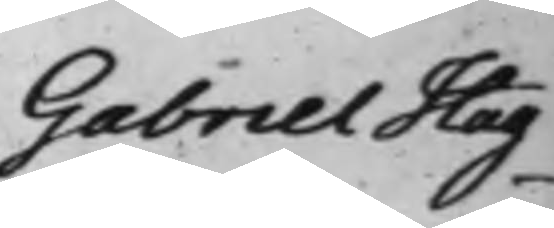Gabriel Hag¬
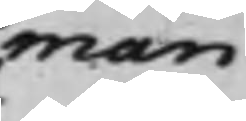man
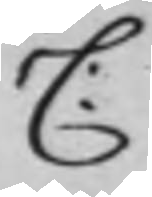C:
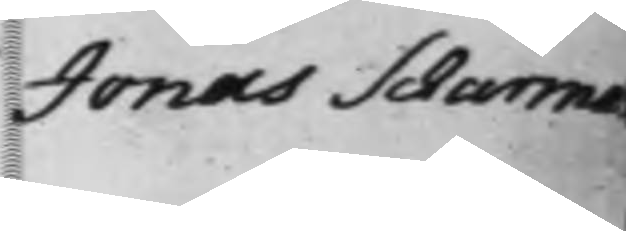Jonas Scharman
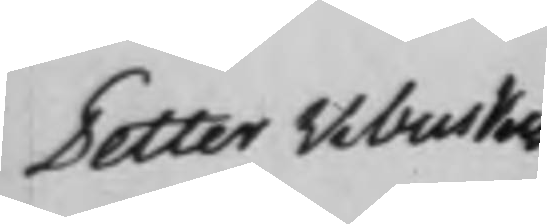Petter Wibuskes
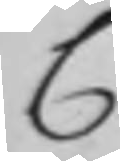C
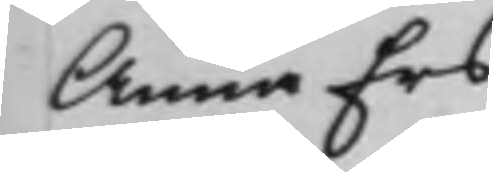Anna Ers¬
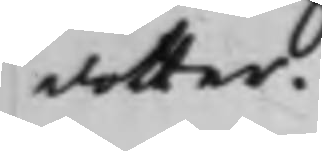dotter.
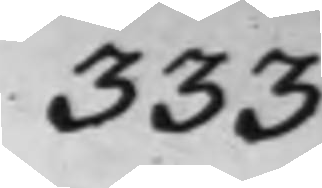333
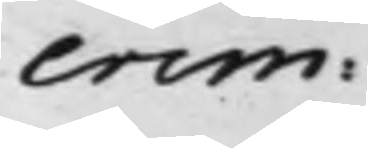crim:
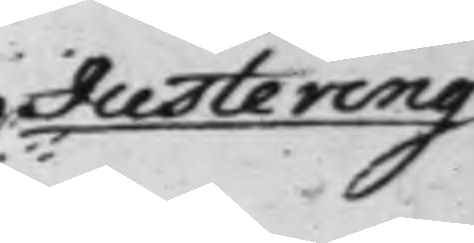Justering
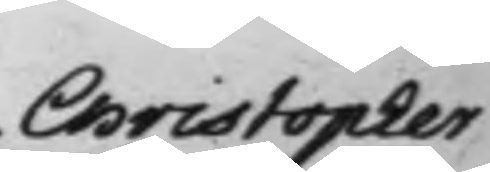Christopher
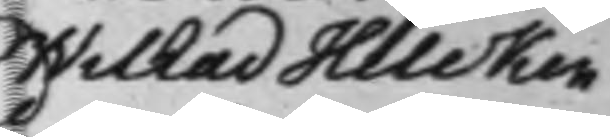Wilhad Hilcken
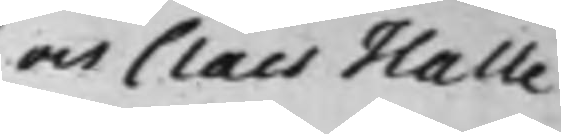Claes Halle¬
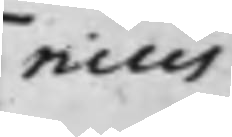nius
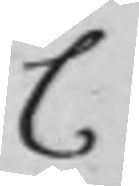C
